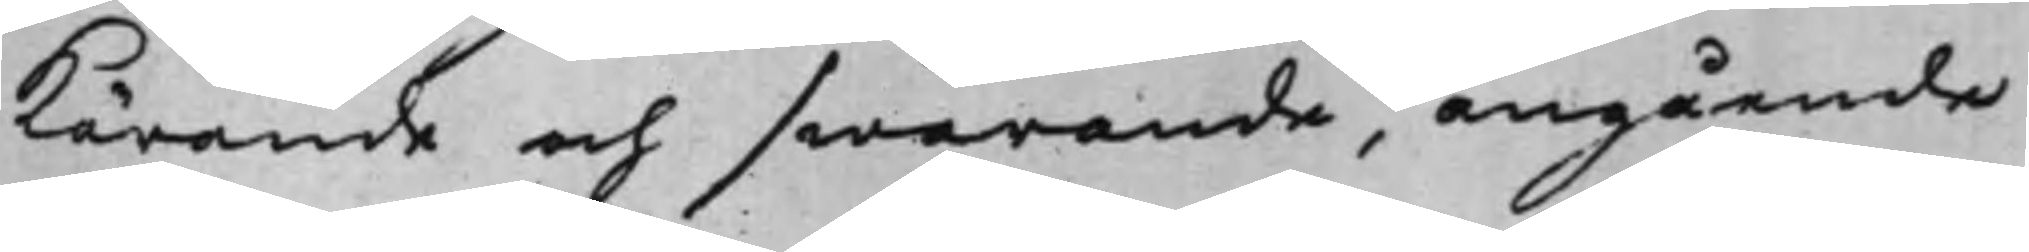kärande och swarande, angående
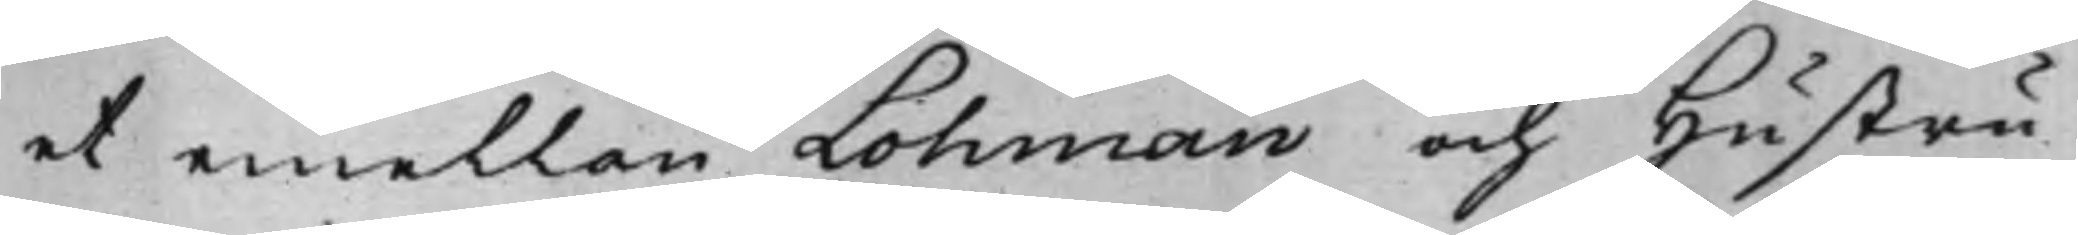et emellan Lohman och Hustru
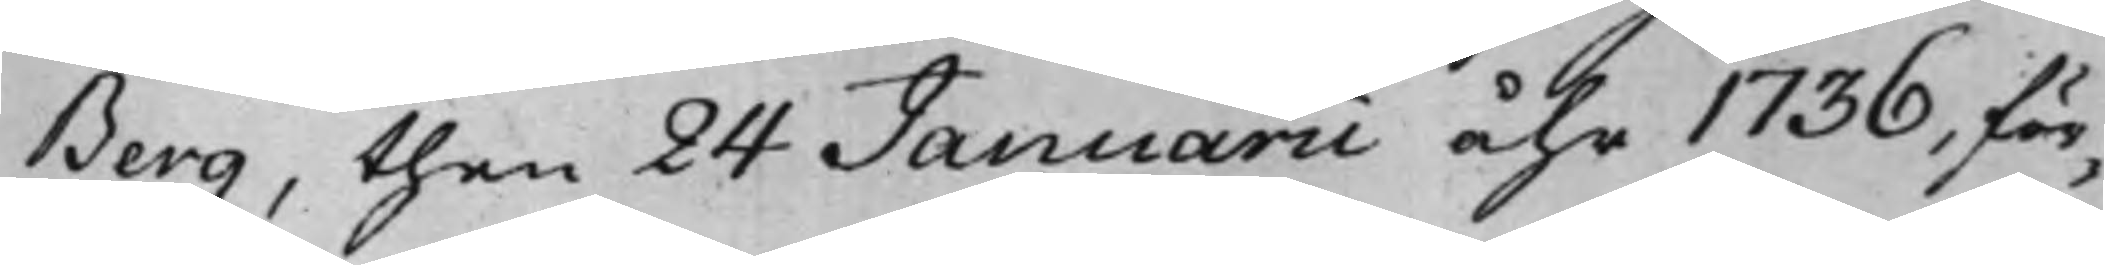Berg, then 24 Januarii åhr 1736, för¬
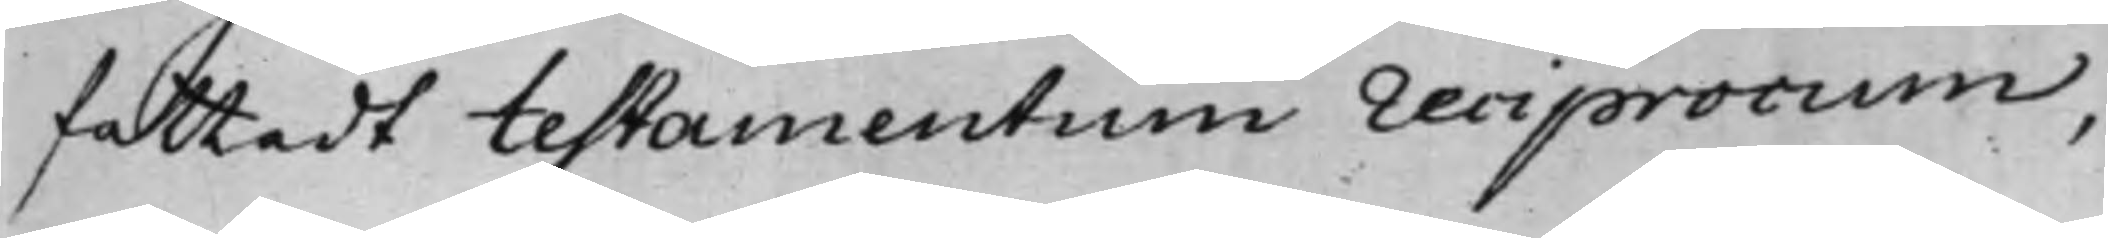fattadt testamentum reciprocum,
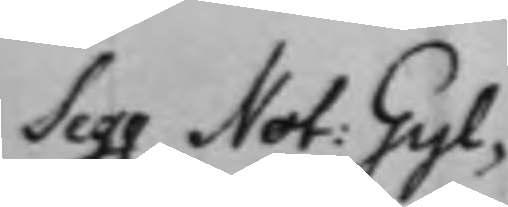Seqq Not: Gyl¬
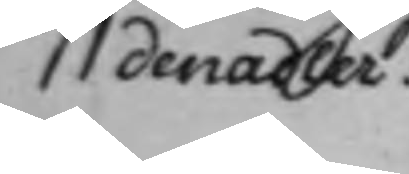denadler.
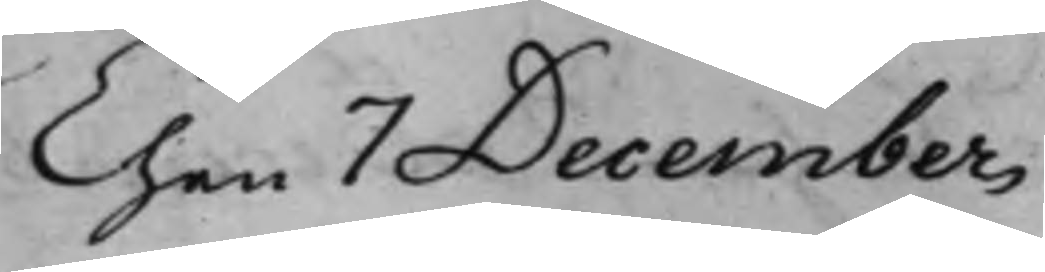Then 7 December
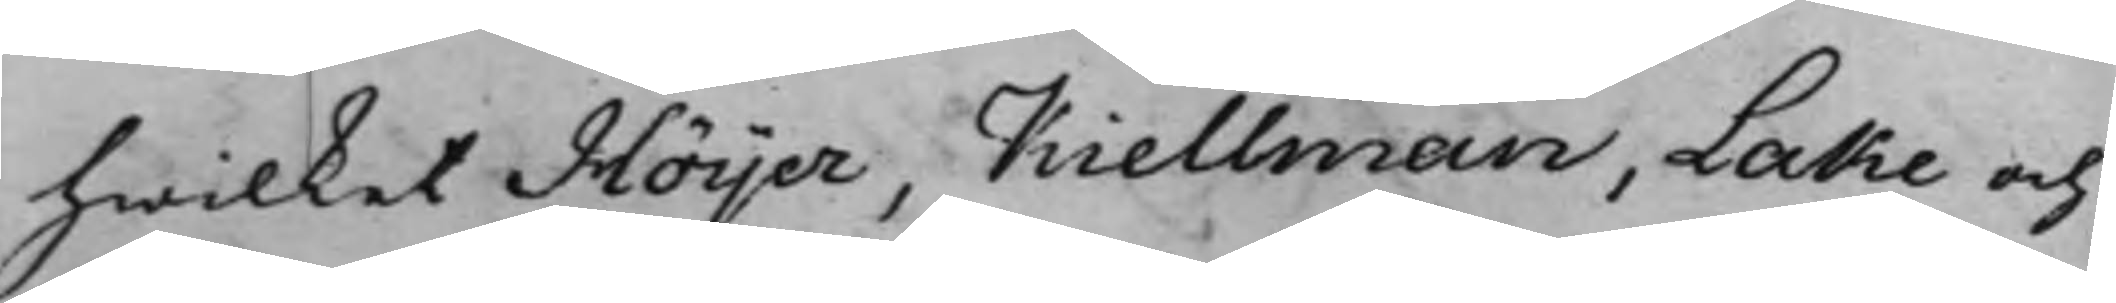hwilket Höijer, Kiellman, Lake och
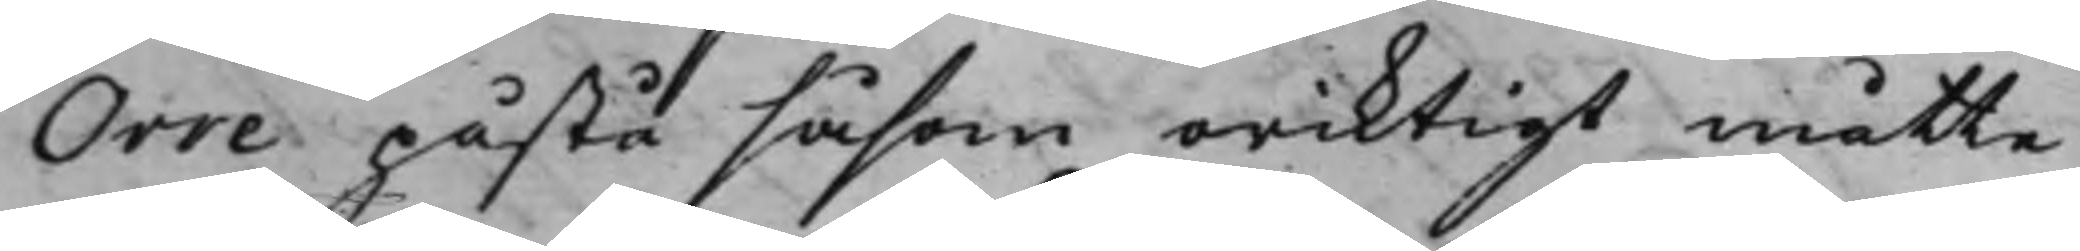Orre påstå såsom oriktigt måtte
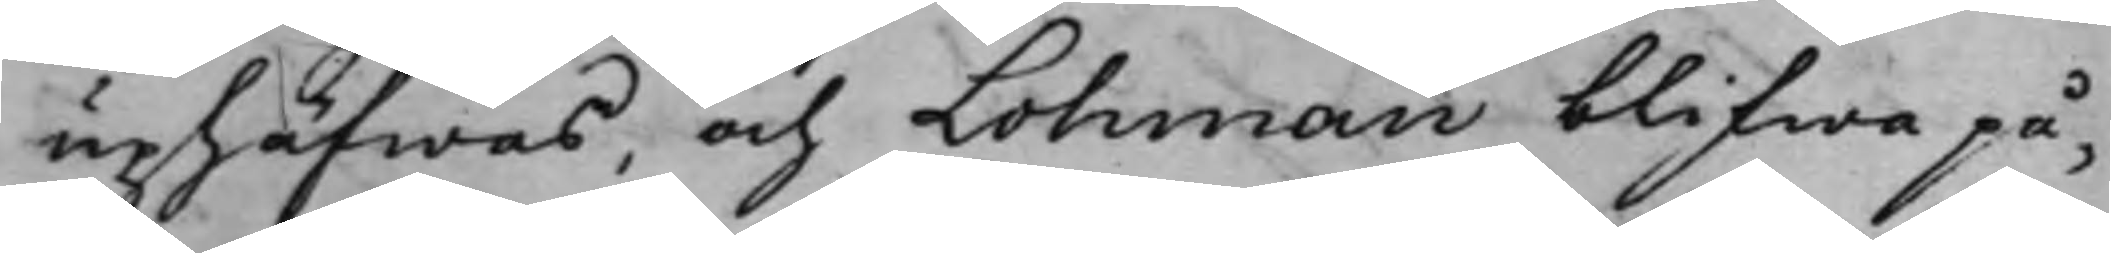uphäfwas, och Lohman blifwa på¬
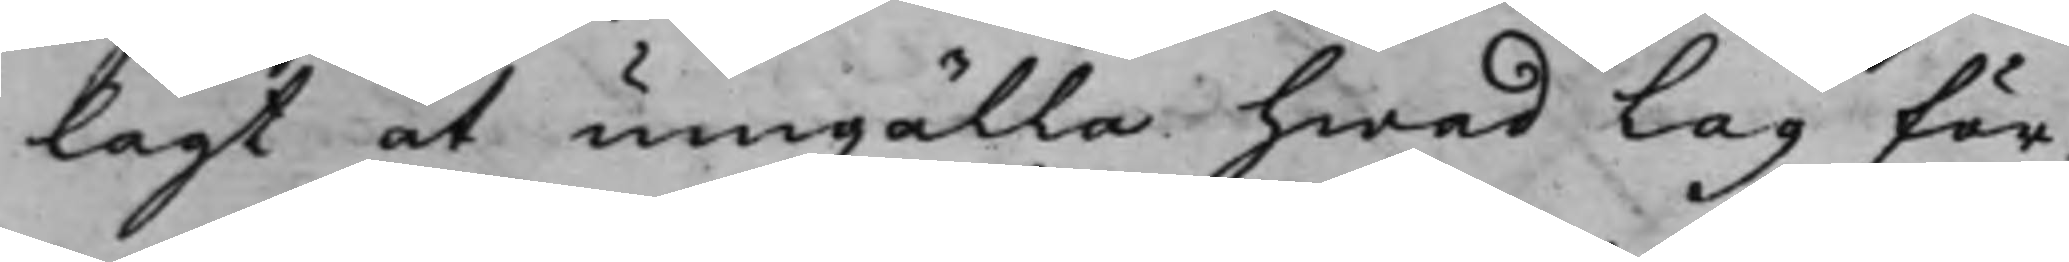lagt at umgälla hwad Lag för¬
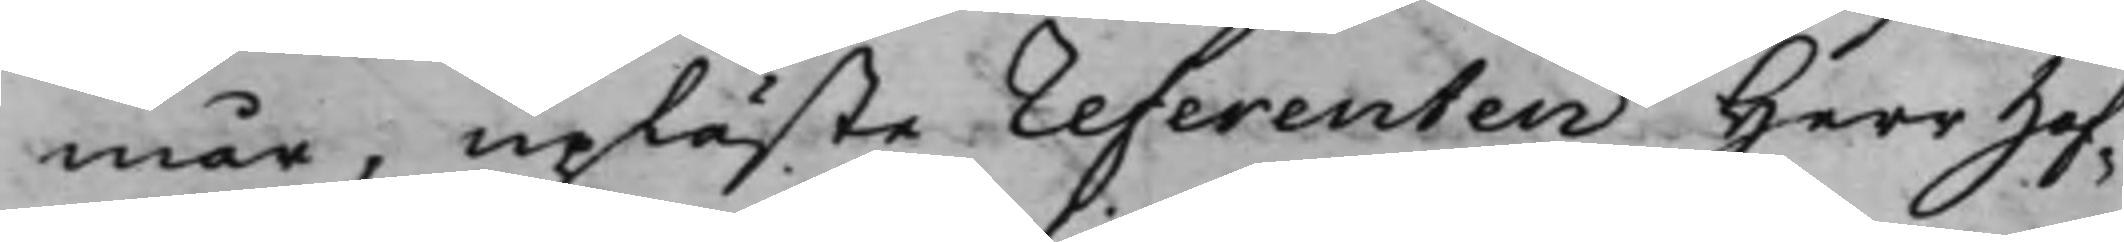mår, upläste referenten Herr Hof¬
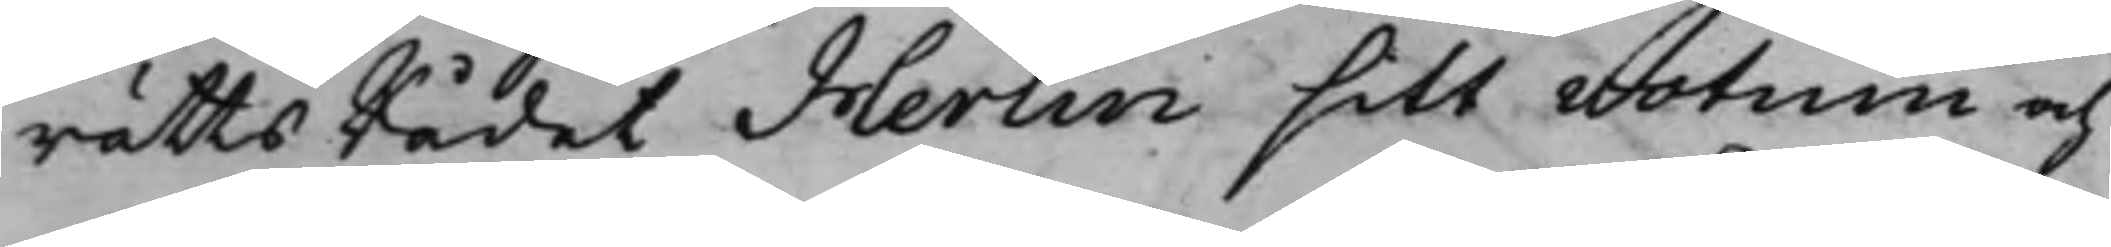rättsRådet Herlin sitt votum och
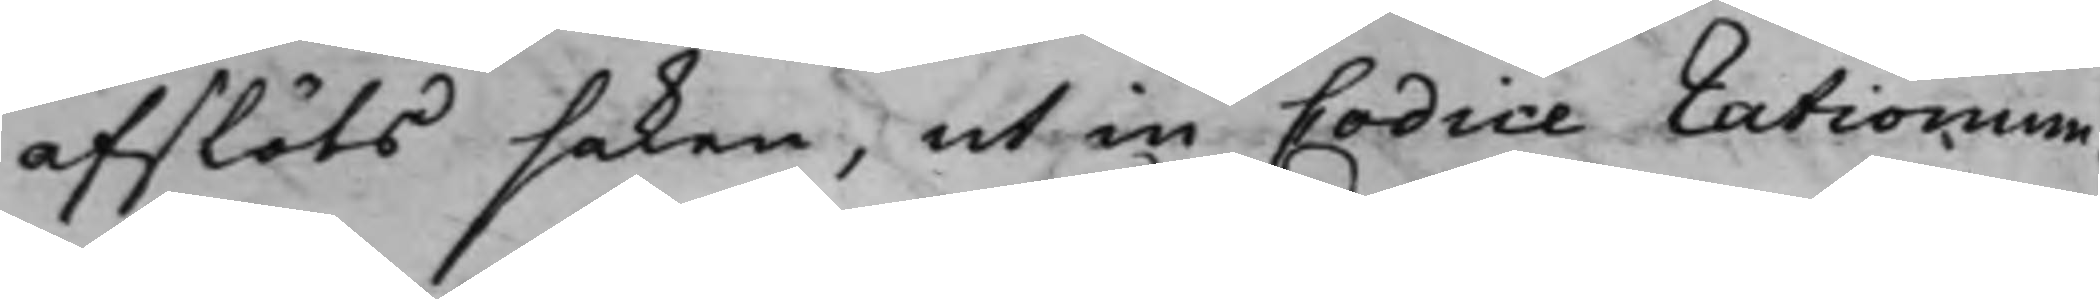afslöts saken, ut in Codice rationum.
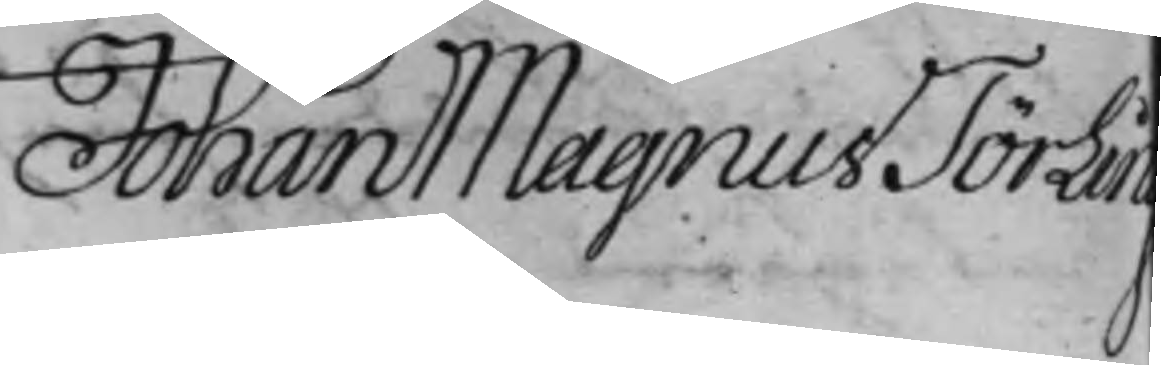Johan Magnus Törling
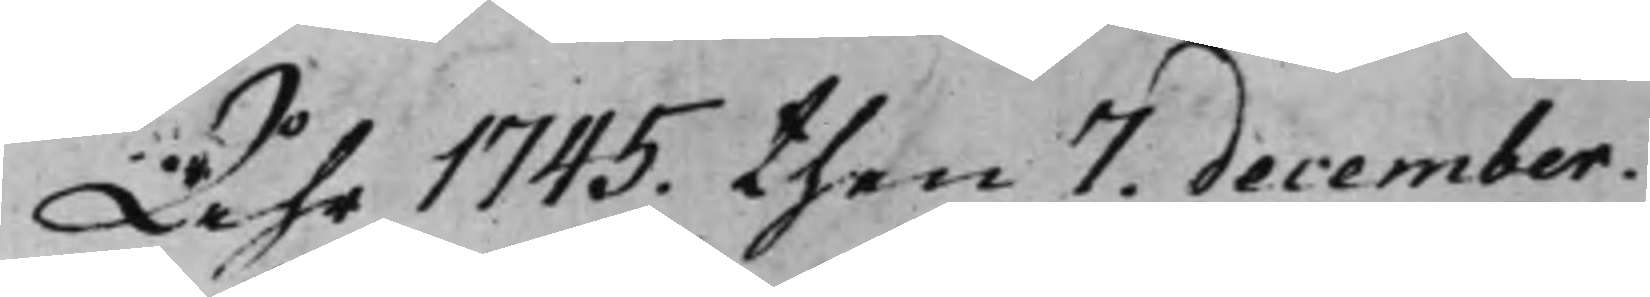Åhr 1745. then 7. December.
